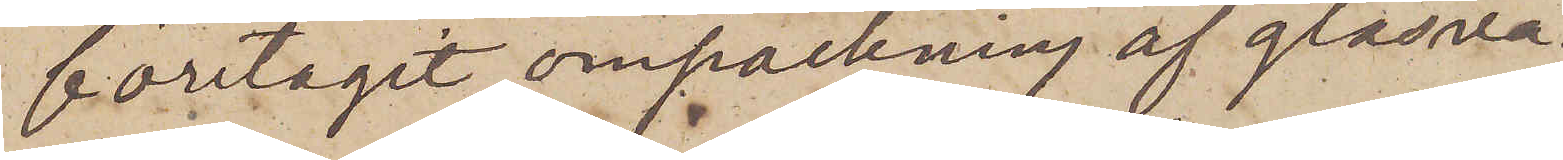företagit ompackning af glasva¬
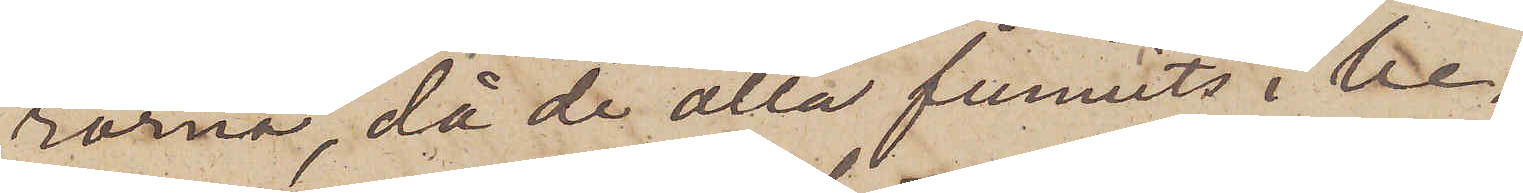rorna, då de alla funnits i be¬
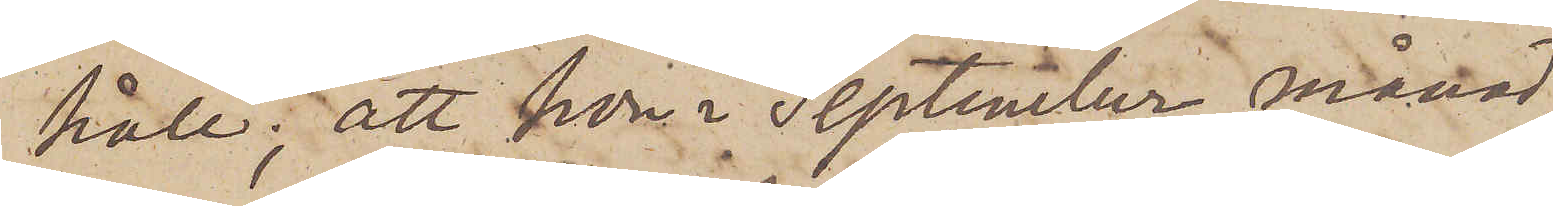håll; att hon i September månad,
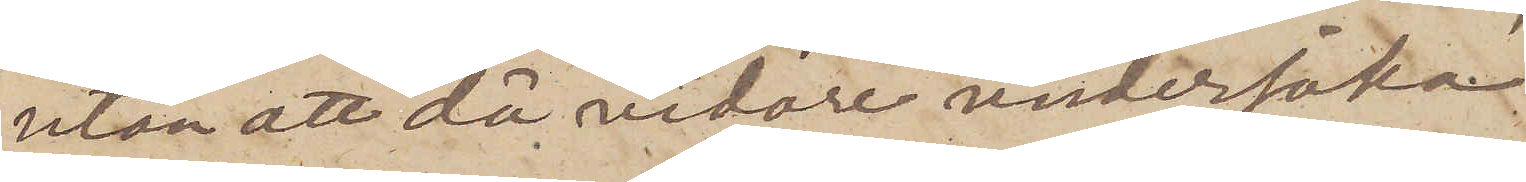utan att då vidare undersöka
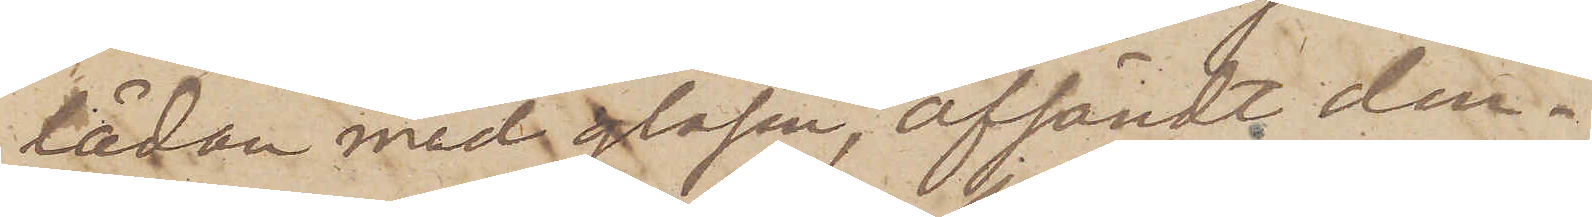lådan med glasen, afsändt den¬
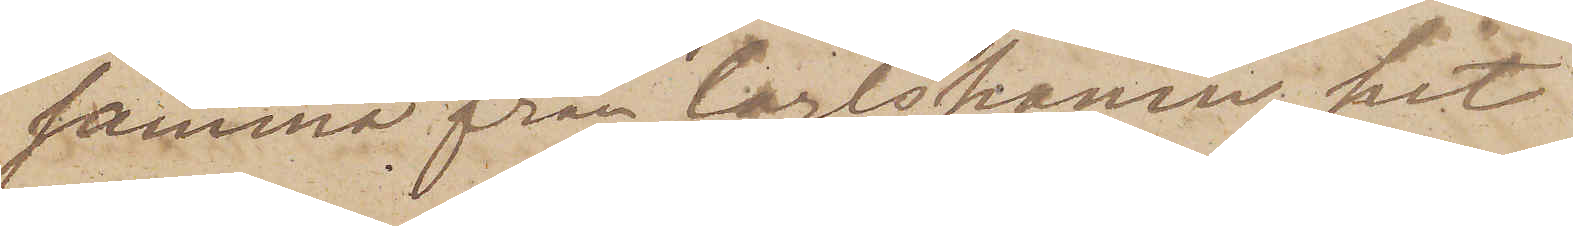samma från Carlshamn hit.
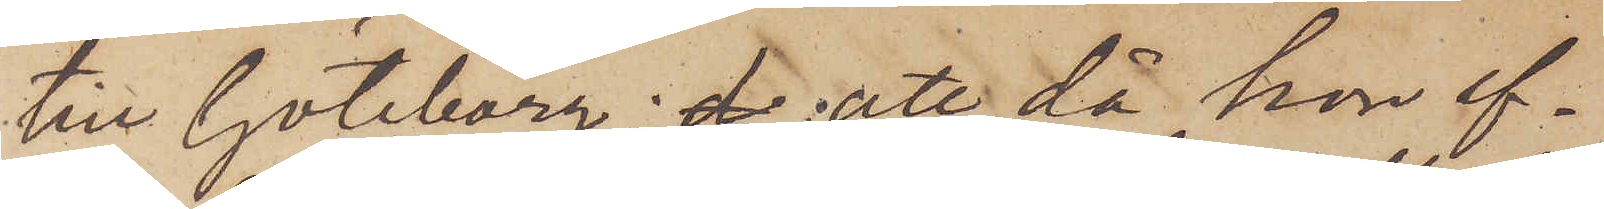till Göteborg; att då hon ef¬
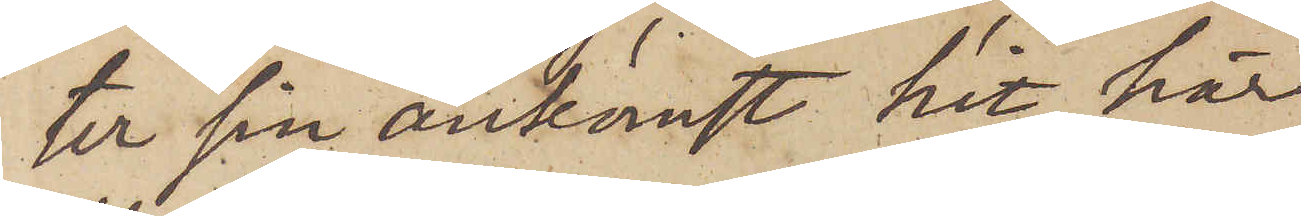ter sin ankomst hit här
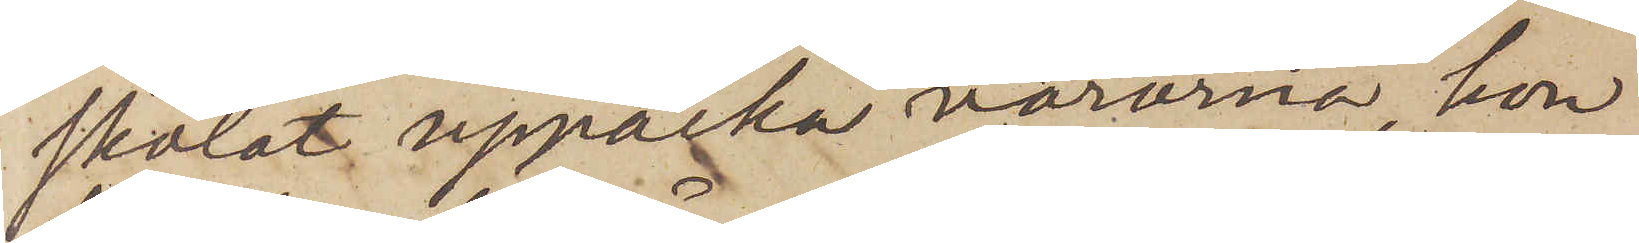skolat uppacka varorna, hon
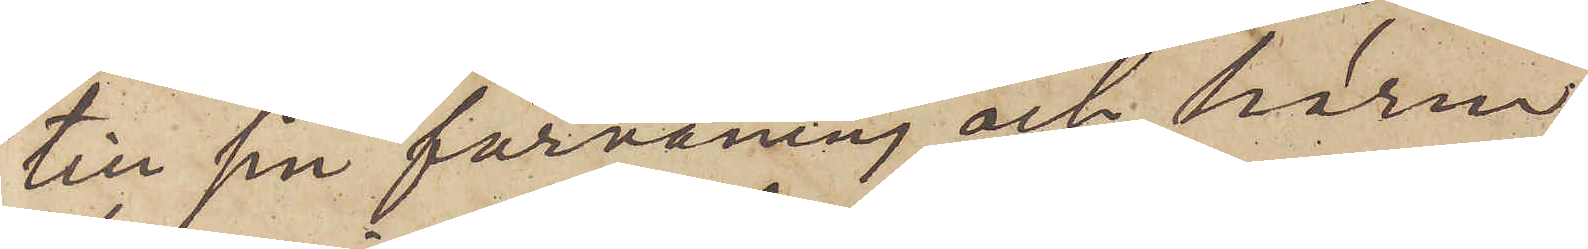till sin förvåning och harm
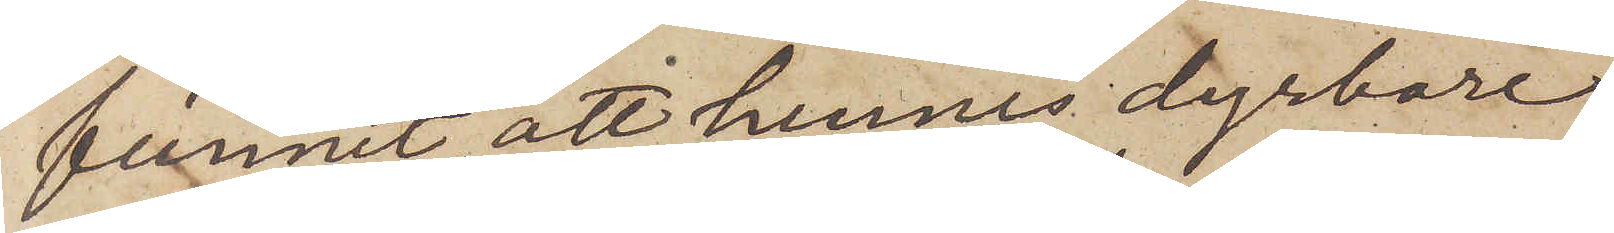funnit att hennes dyrbare
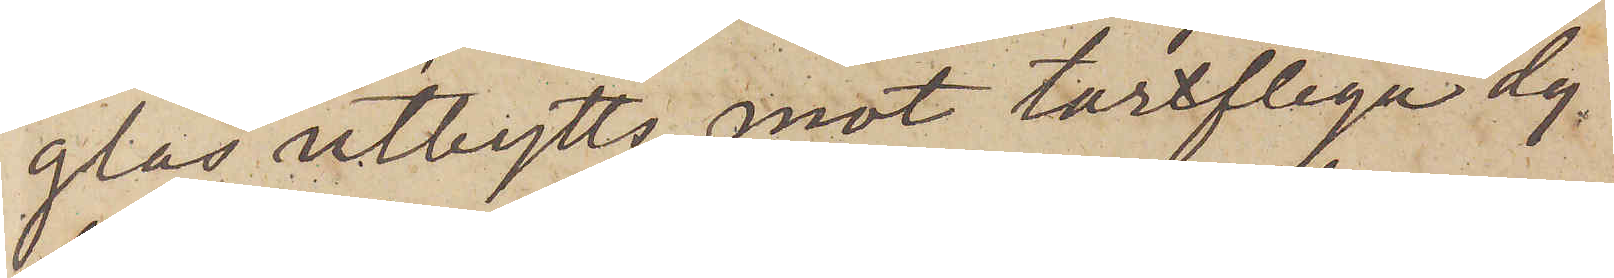glas utbytts mot tarfliga dy¬
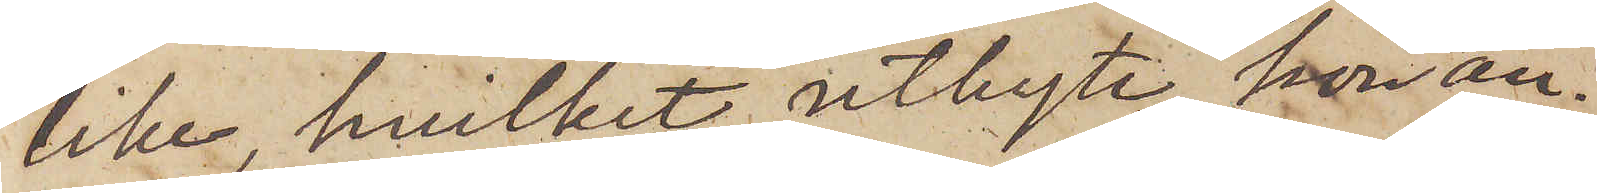lika, hvilket utbyte hon an¬
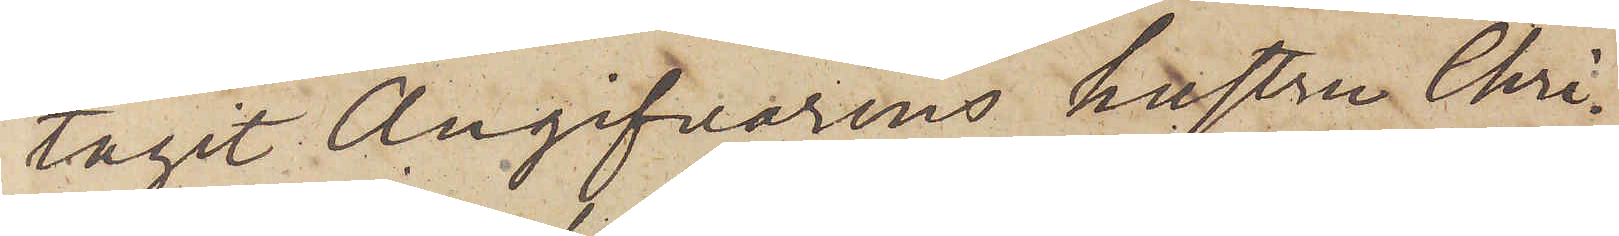tagit Angifvarens hustru Chri¬
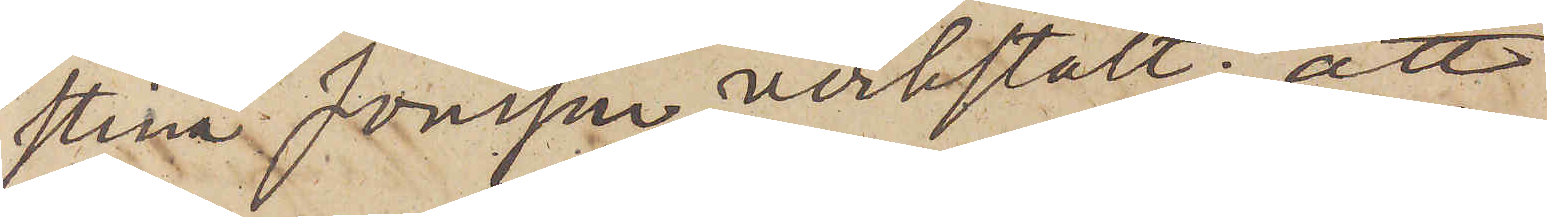stina Jonsson verkstält; att
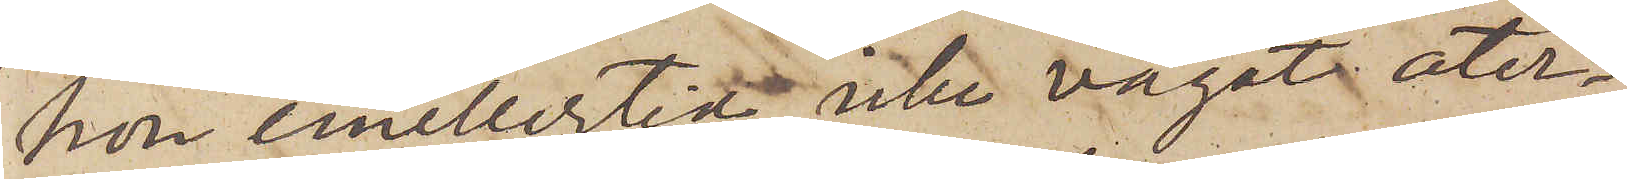hon emellertid icke vågat åter¬
